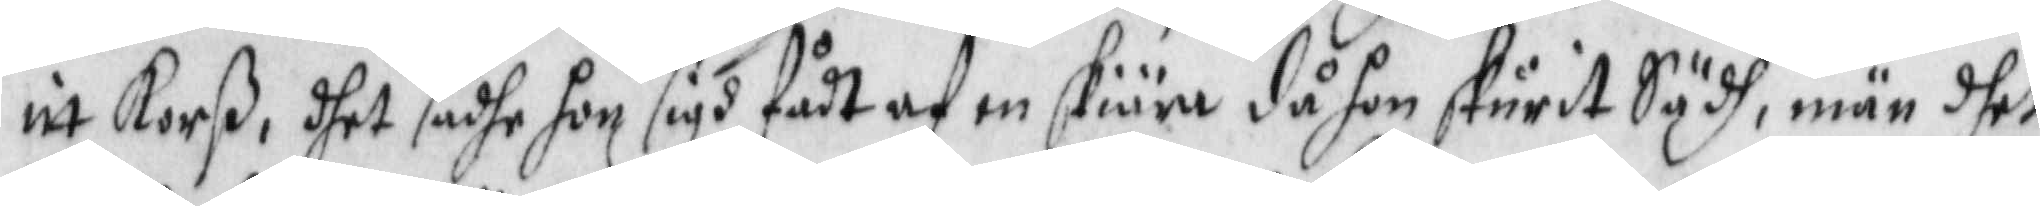itt Korß, dhet sadhe hon sigh fådt af en skiära då hon skurit Sädh, män dhet
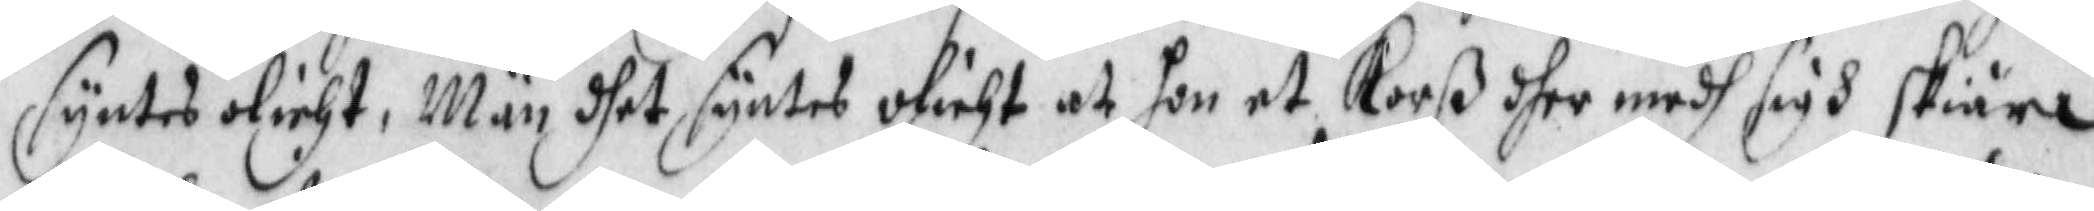syntes olicht, Män dhet syntes olicht at hon et Korß dher medh sigh skiära
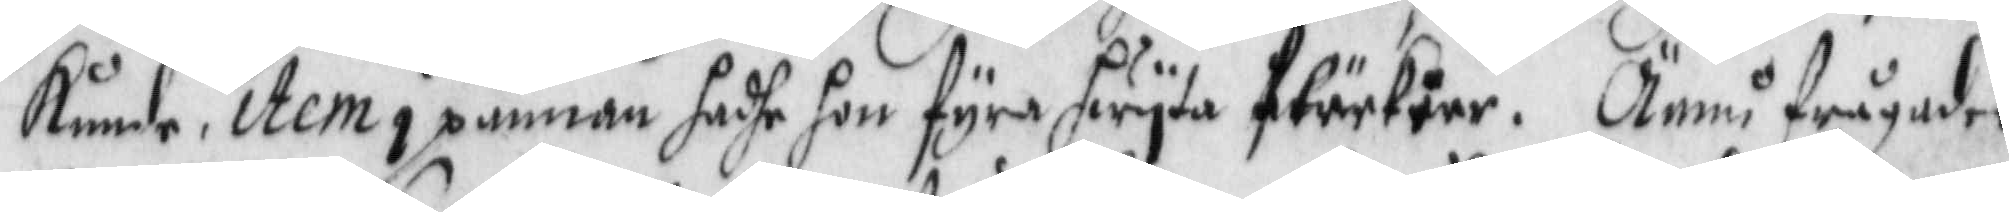kunde, Item i pannan jadhe hon fyra hwyta ftärkåre. Ännu frågades
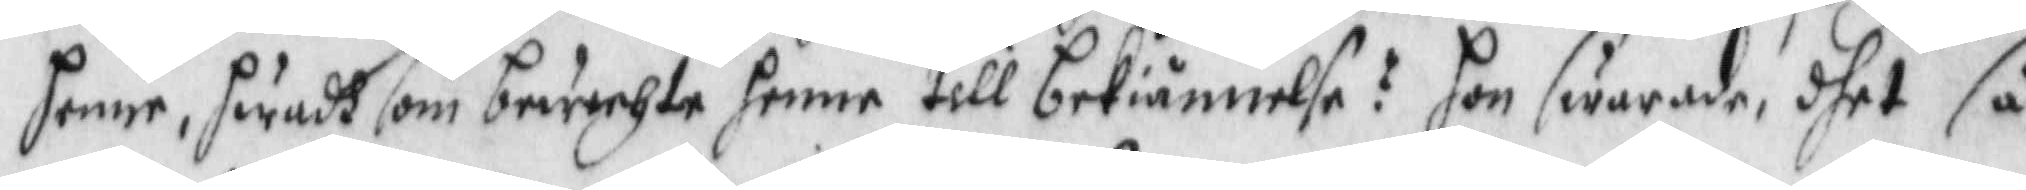henne, hwadh som bewechte henne till bekiännelse? hon swarade, dhet så
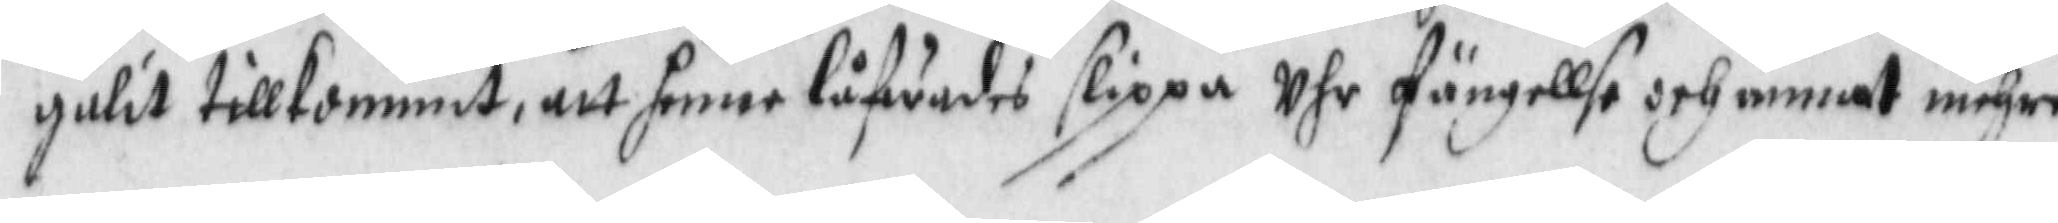gulit tillkommit, att henne låfwades slippa Uhr fängellse och annat mehra
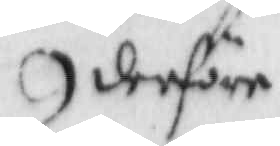derföre
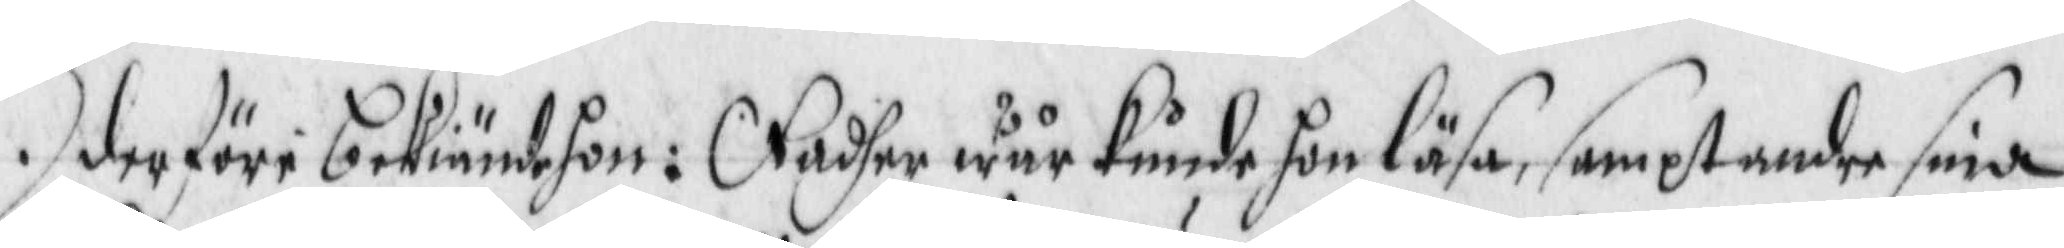derföre bekiände hon: Fadher wår kunde hon läsa, sampt andre sine
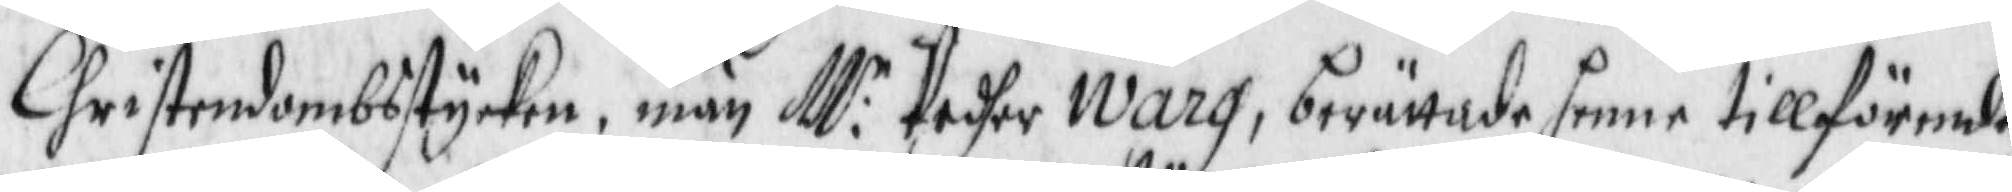Christendombsstycken, män M:r Pedher Warg berättade henne tillförende
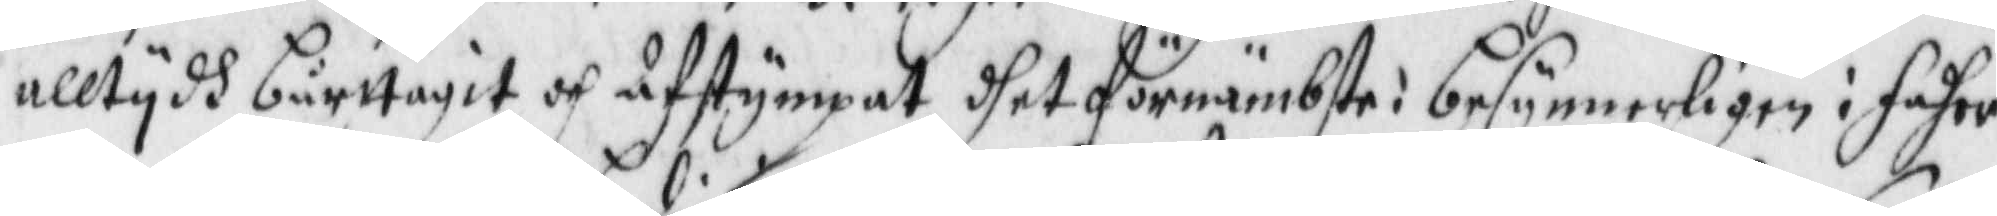alltydh bårttagit och afstympat dhet förnämbste i besynnerligen i faher
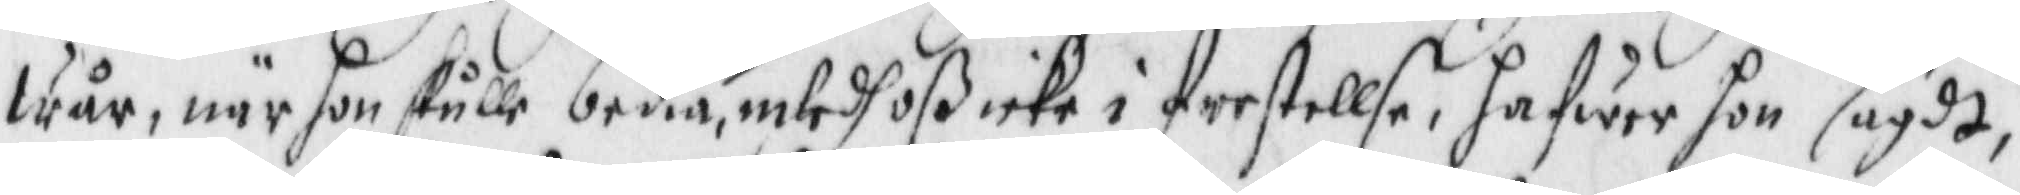wår, när hon skulle bedia, inled oß icke i frestellse, hafwer hon sagdt,
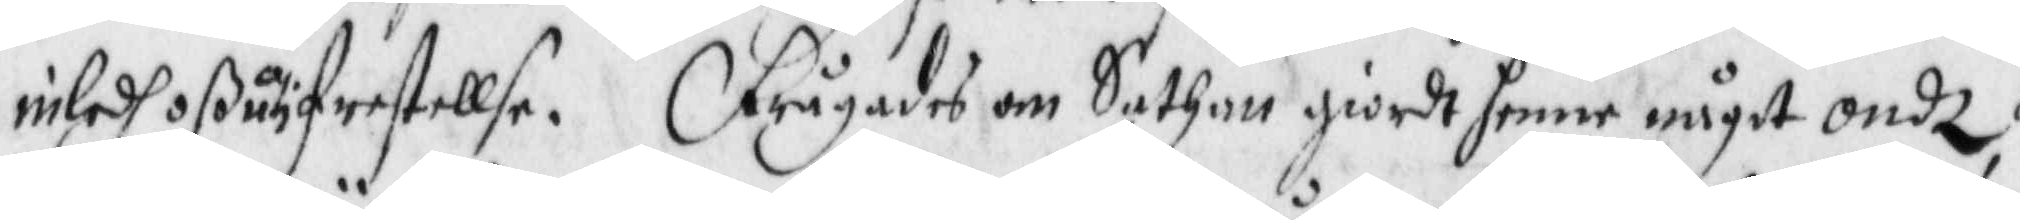inledh oß uti frestellse. Frågades om Sathan giordt henne något ondt?
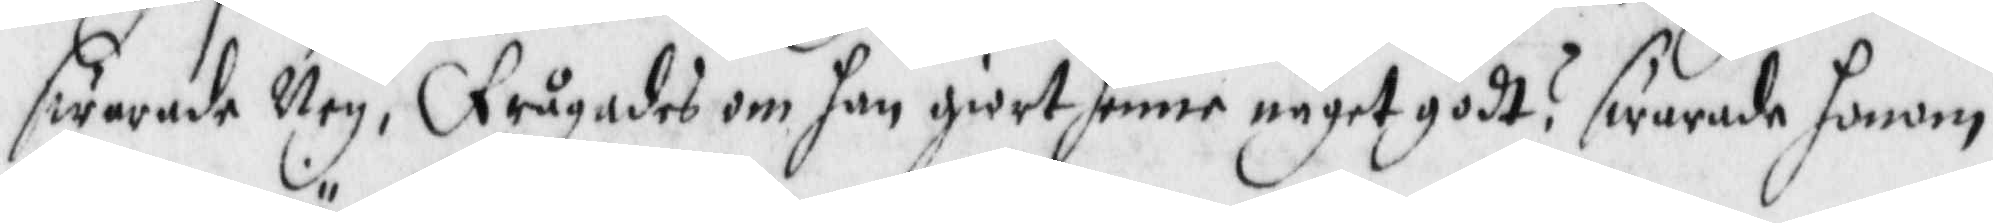swarade Ney, Frågades om han giort henne något godt? swarade honom
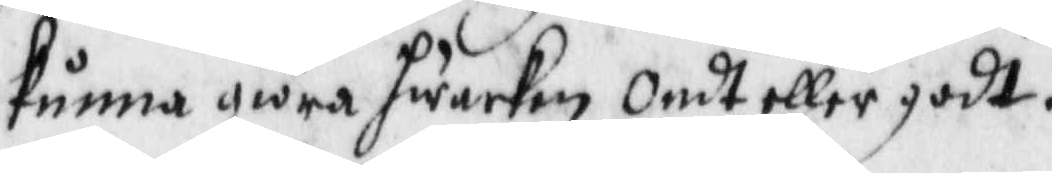kunna giöra hwarken ondt eller godt.
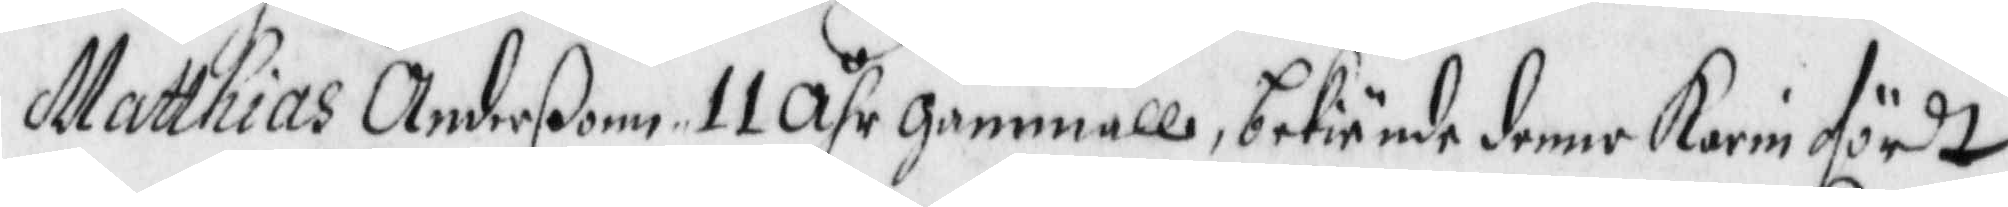Matthias Anderßon 11 Åhr gammall, bekiände denne Karin fördt
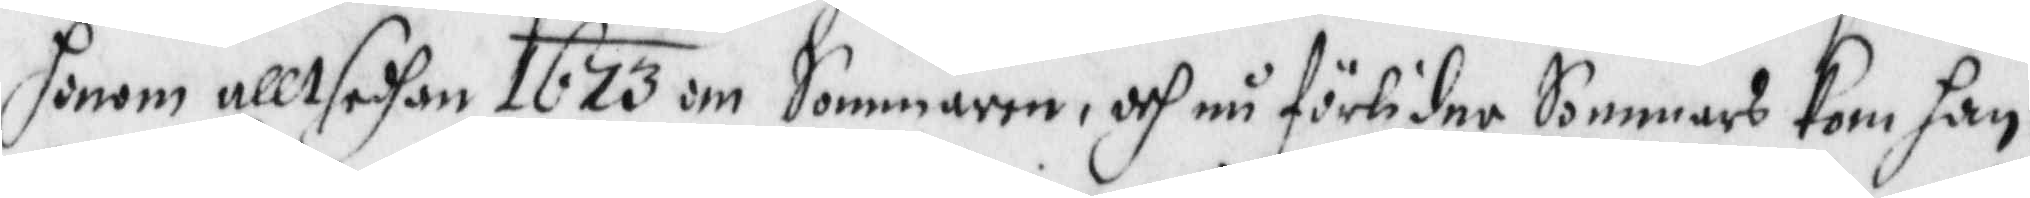honom alltsedhan 1673 om Sommaren, och nu förlidne Sommars kom han
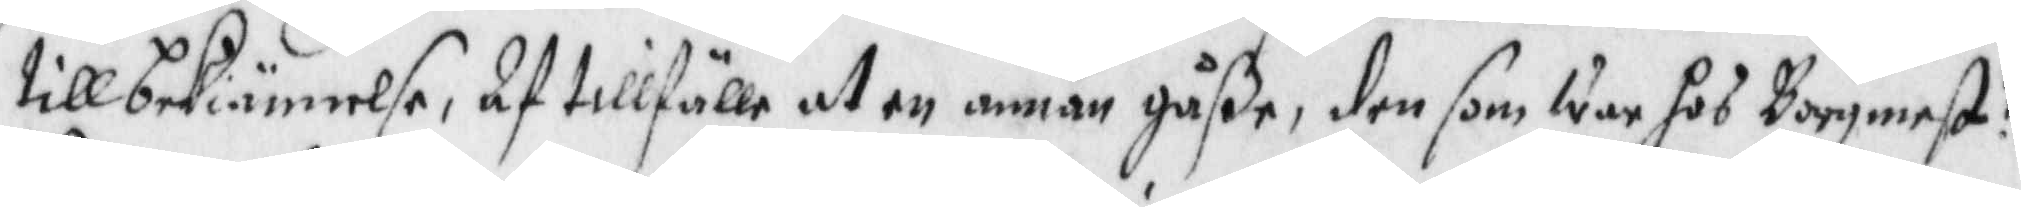till bekiännelse, af tillfälle at en annan gåße, den som war hos Borgmest?
